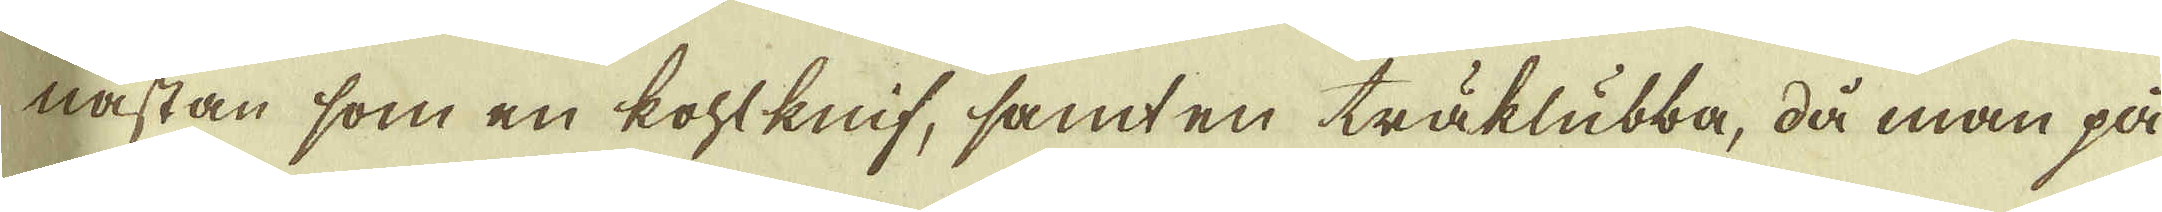nästan som en kohlknif, samt en träklubba, då man på
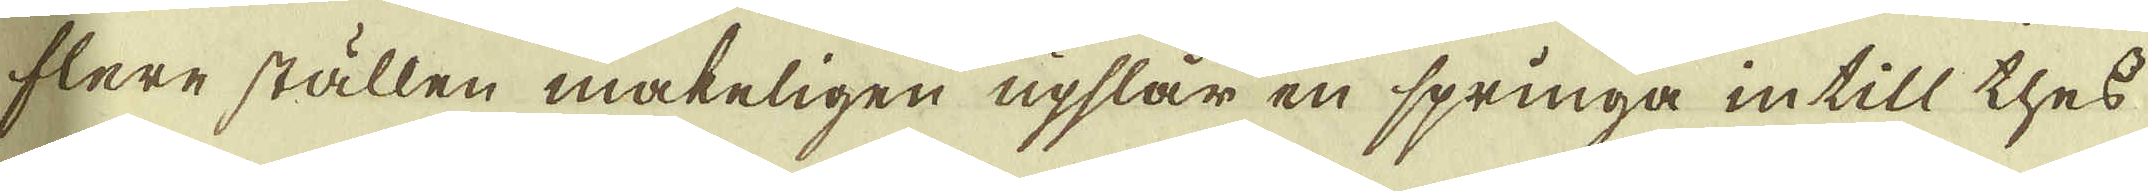flere ställen makeligen upslår en springa intill thes
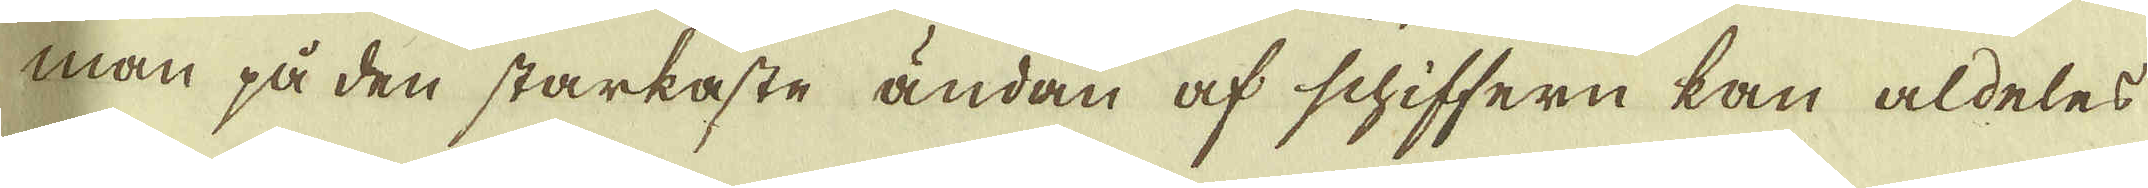man på den starkaste ändan af schiffern kan aldeles
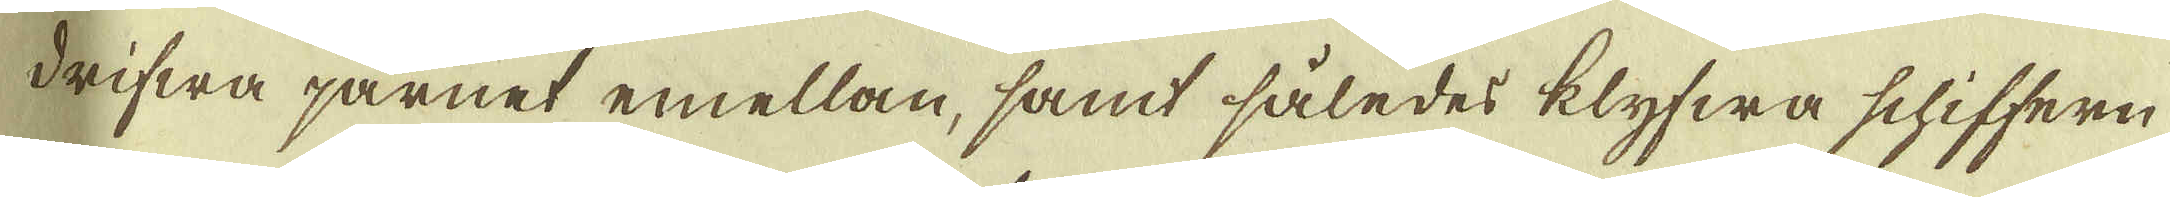drifwa järnet emellan, samt således klyfwa schiffern
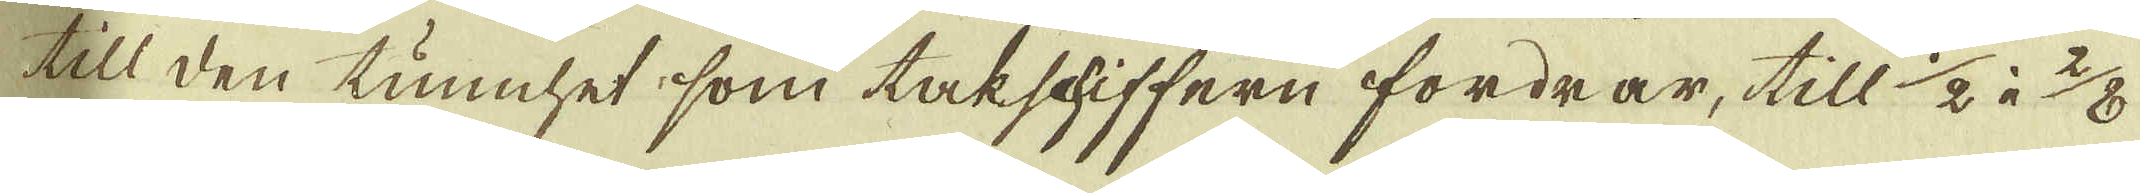till den tunnhet, som takschiffern fordrar, till 1/2 à 2/3
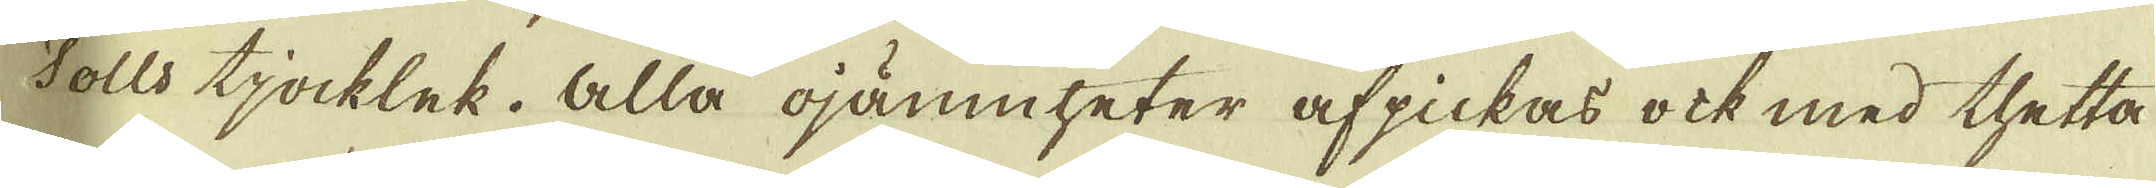Tolls tjocklek. Alla ojämnheter afpickas ock med thetta
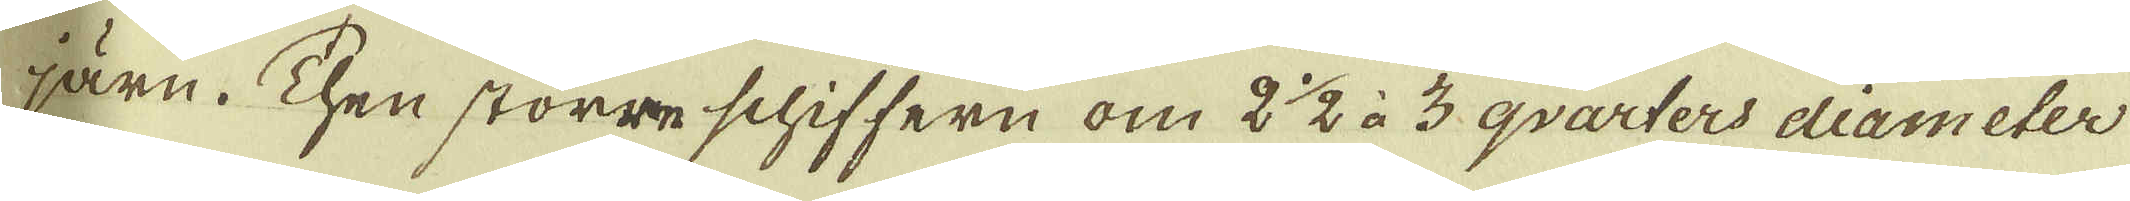järn. Then större schiffern om 2 1/2 à 3 qvarters diameter
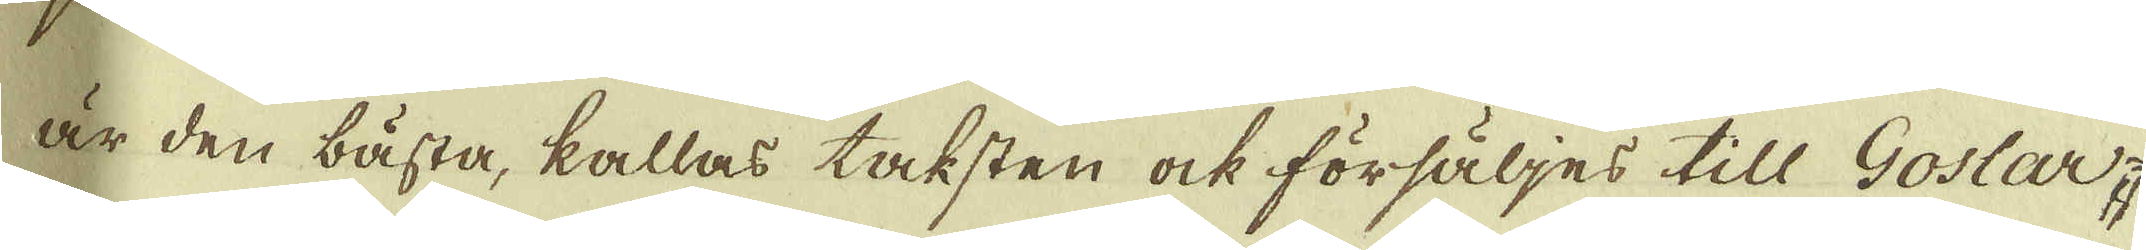är den bästa, kallas taksten ock försäljes till Goslar-
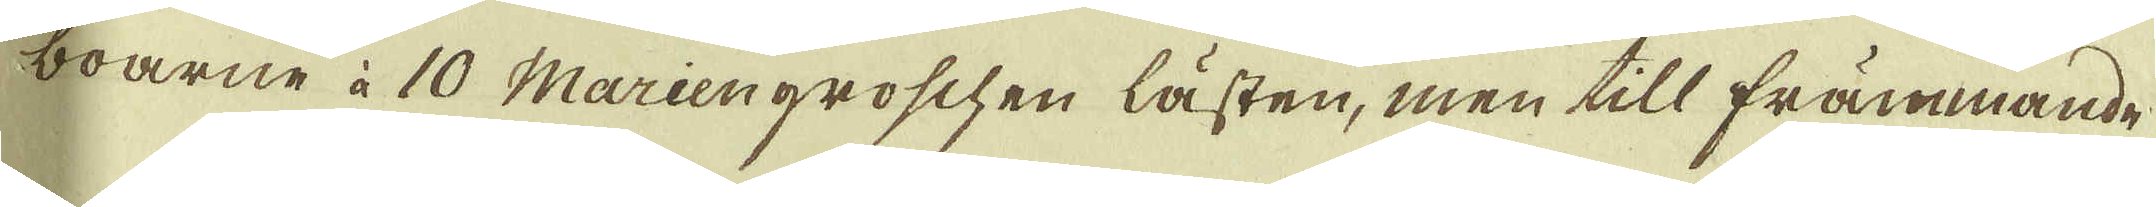boarne à 10 Mariengroschen lästen, men till främmande
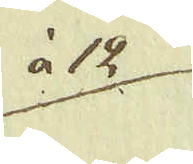à 12
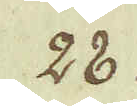28.
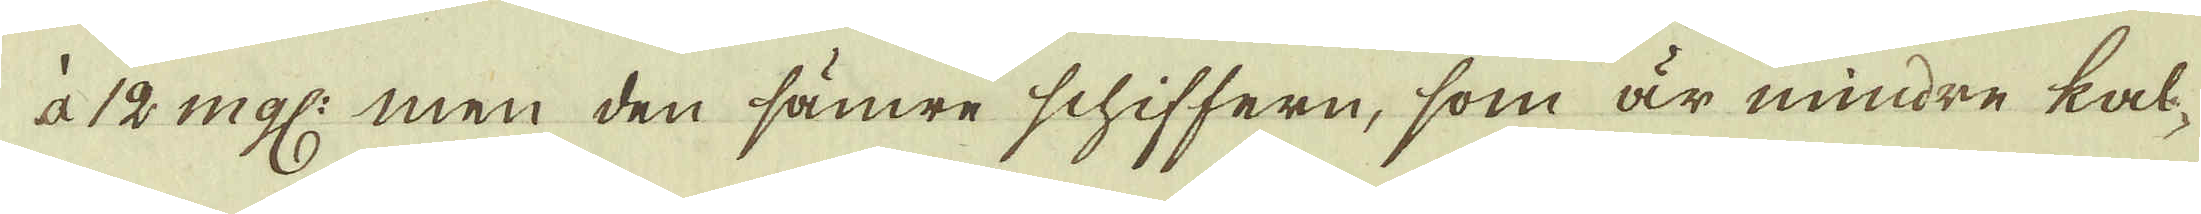à 12 mgl: men den sämre schiffern, som är mindre kal-
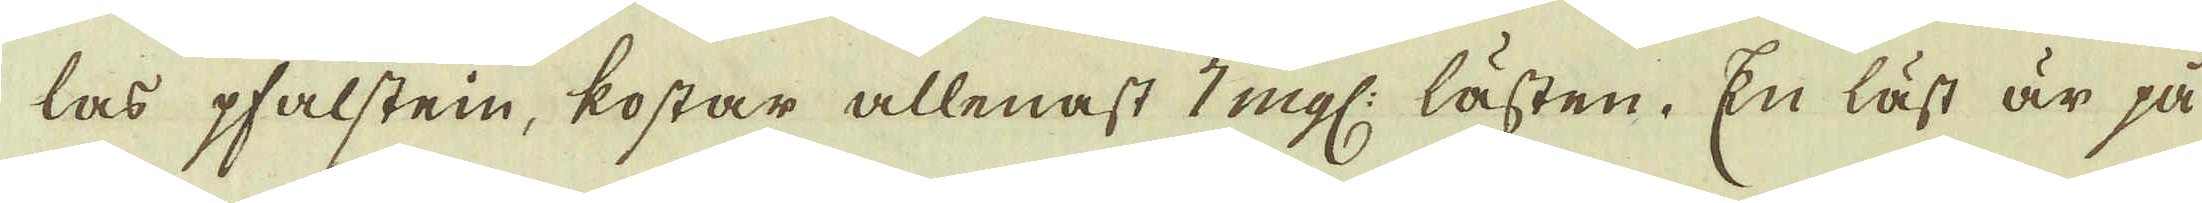las pfalsten, kostar allenast 7 mgl: lästen. En läst är på
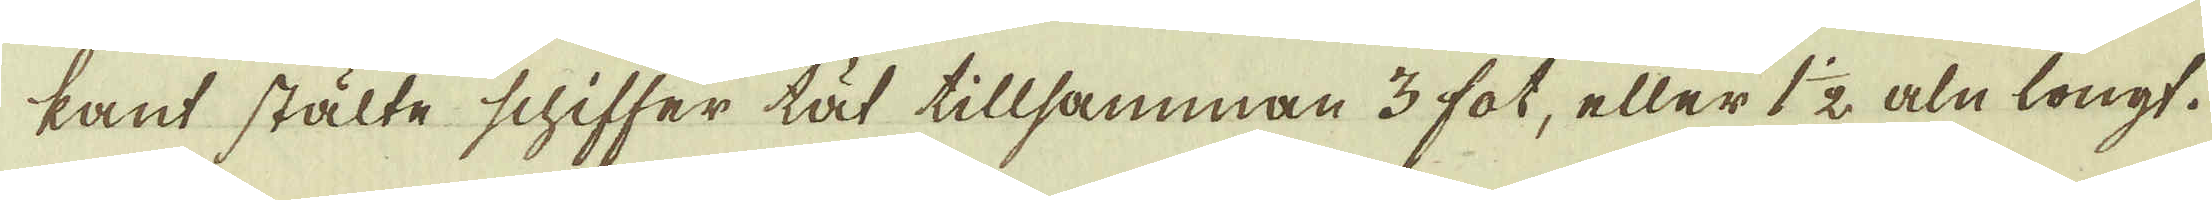kant stälte schiffer tät tillsamman 3 fot, eller 1 1/2 aln longt.
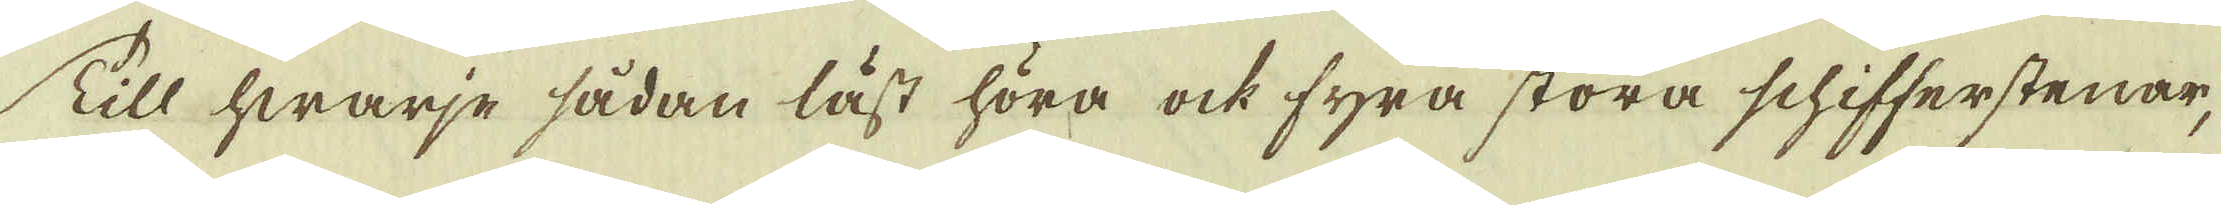Till hwarje sådan läst höra ock fyra stora schifferstenar,
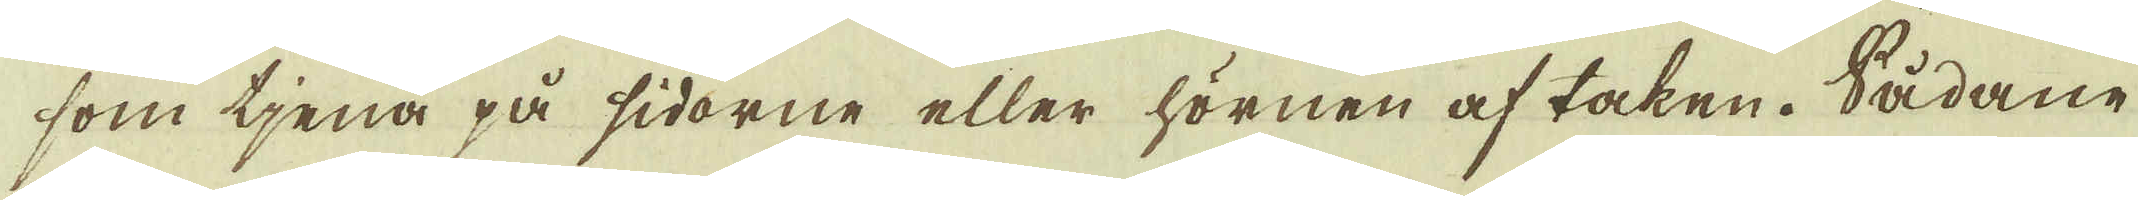som tjena på sidorne eller hörnen af taken. Sådane
